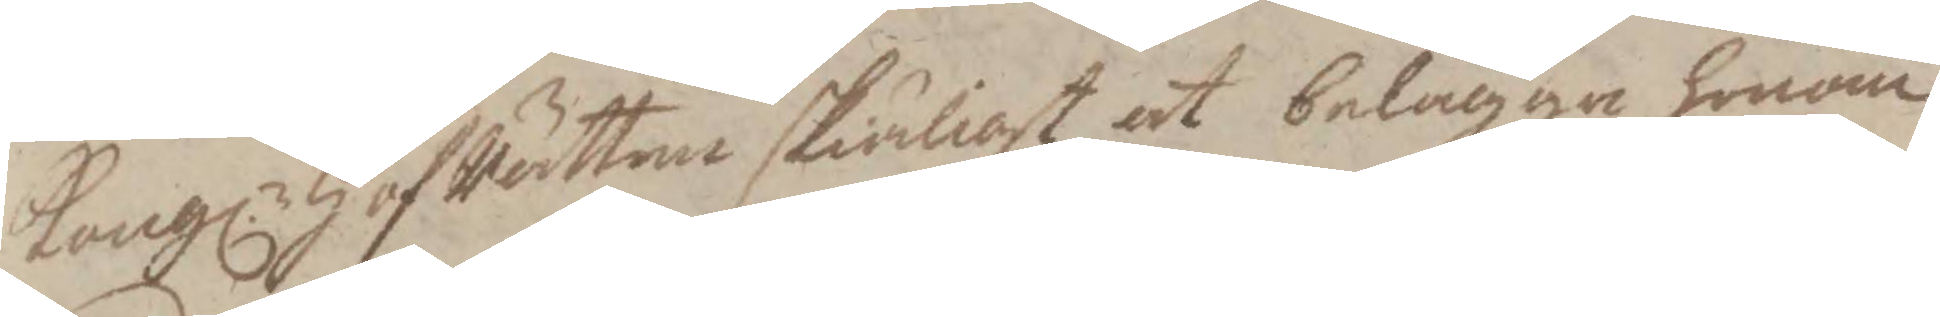Kongl. HofRätten skiäligt at belägga honom
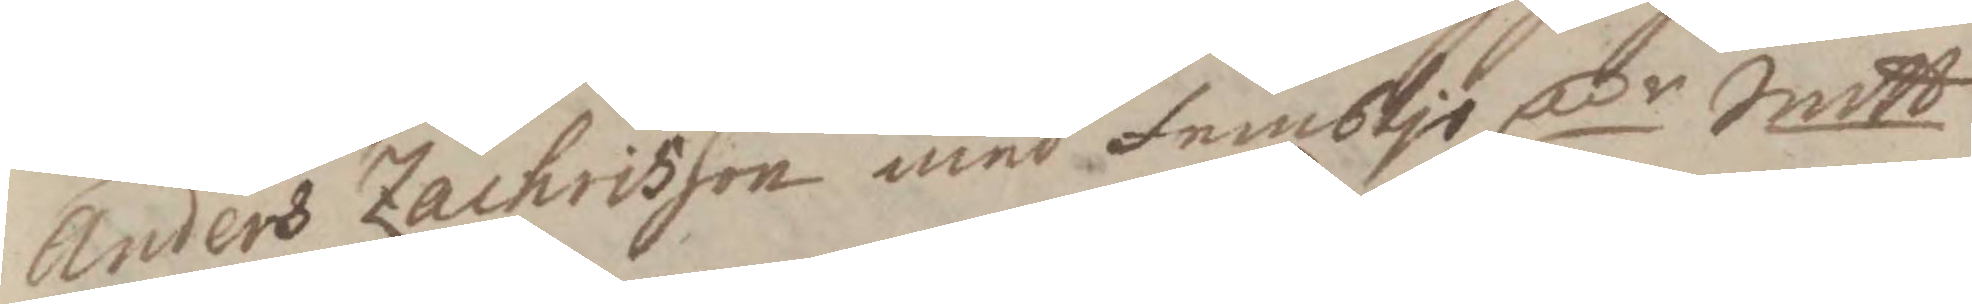Andera Zachrisson med femtyo Cr Smtt
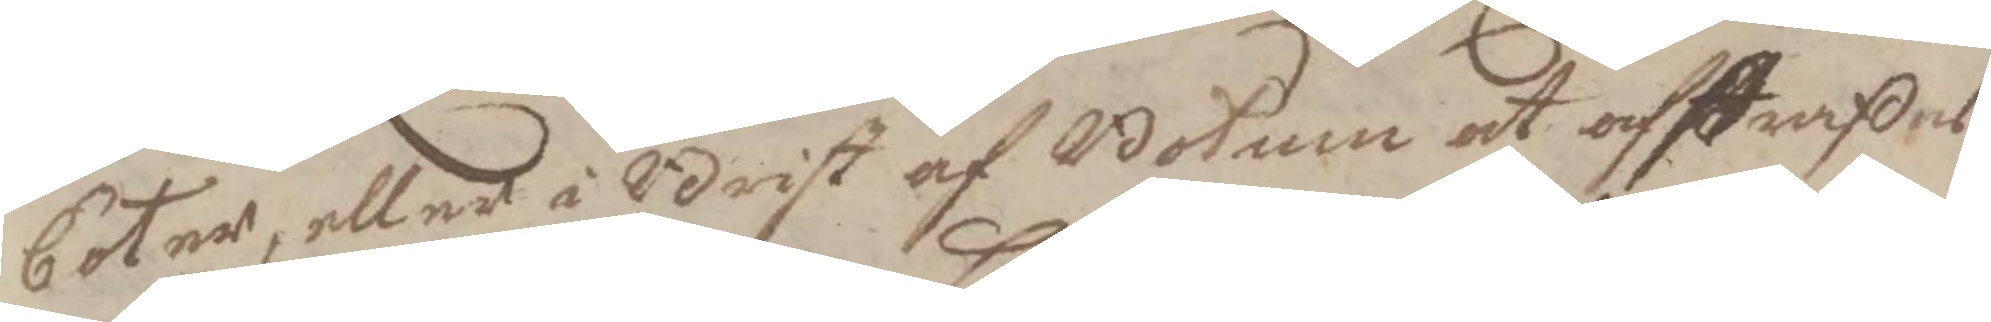böter, eller i Brist af Botum at afstraffas
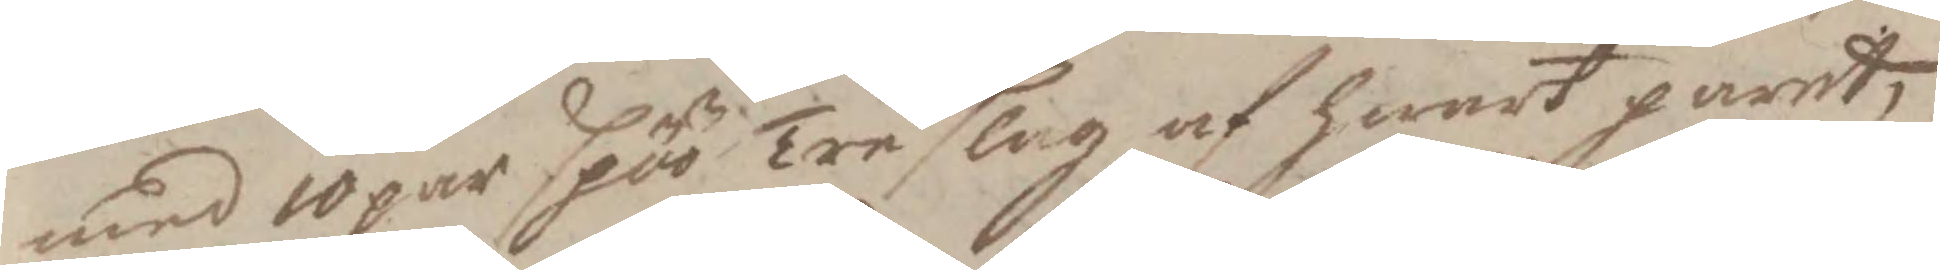med 10 par spöö Tre slag aff hwart paret,
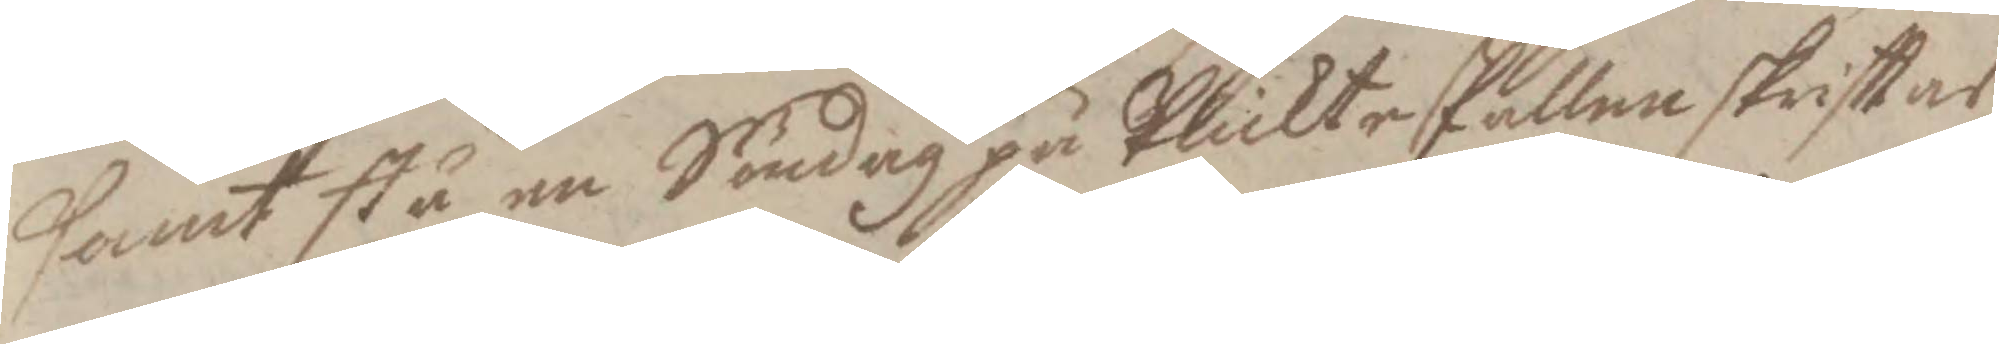samt stå en Söndag på PlicktPallen skrifttas
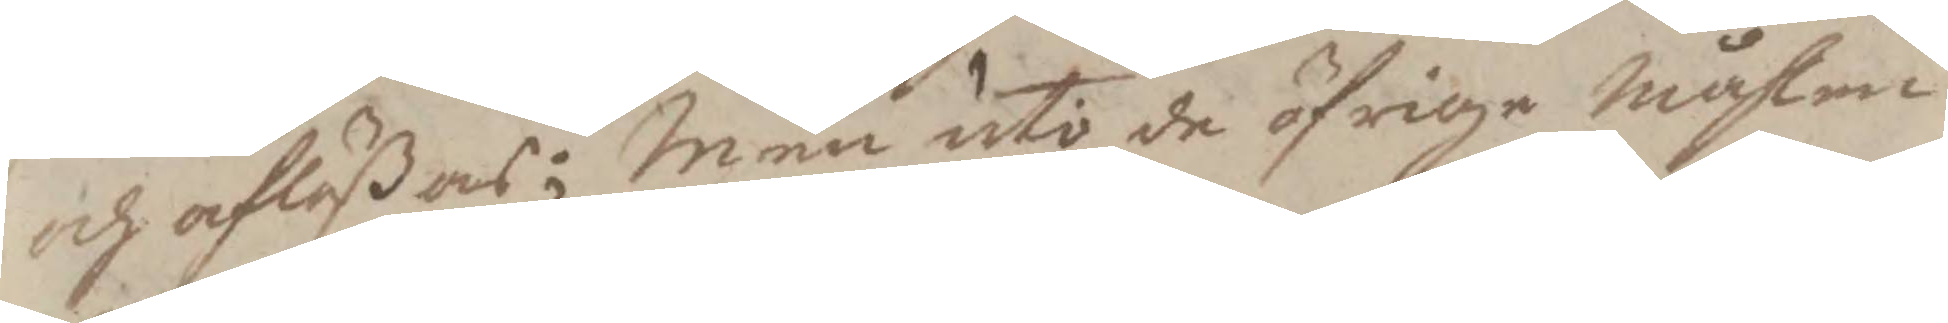och aflößas; Men uti de öfrige Måhlen
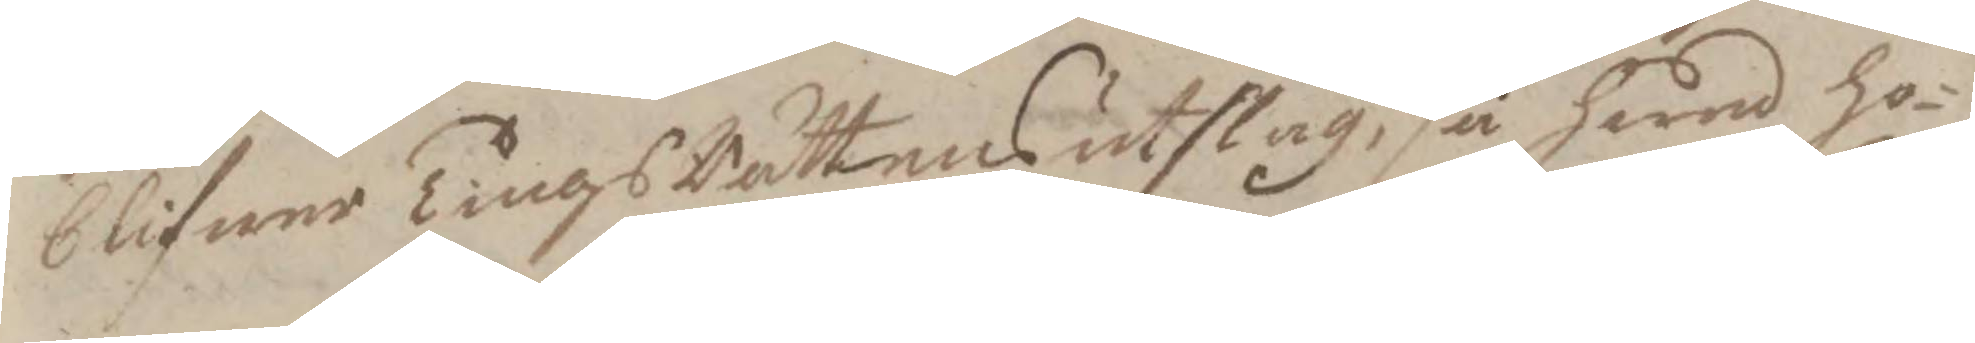blifwer TingsRättens utslag, så hwad ho¬
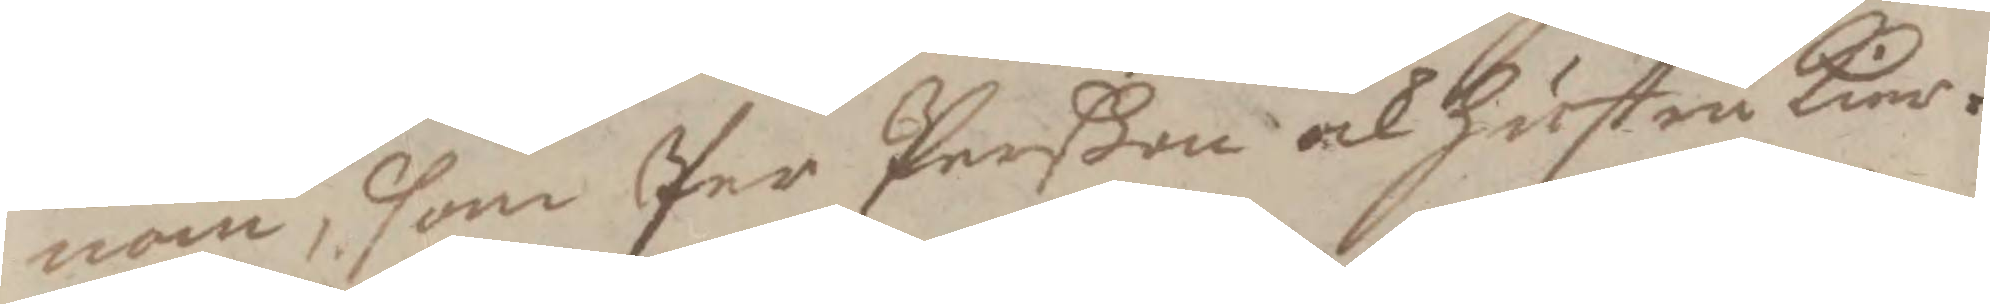nom, som Per Perßon och hustru Kier¬
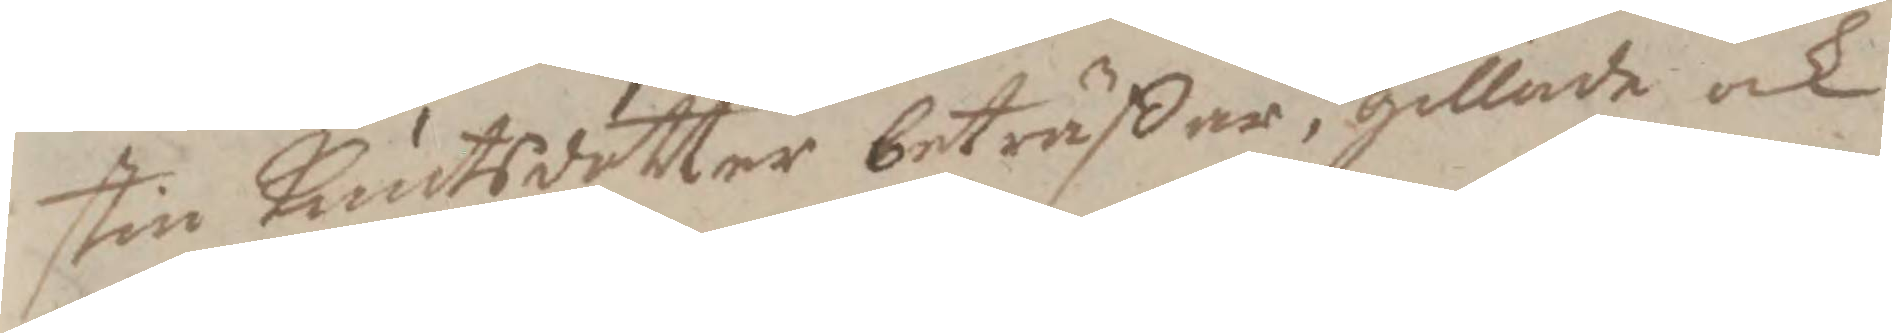stin Knutsdotter beträffar, gillade och
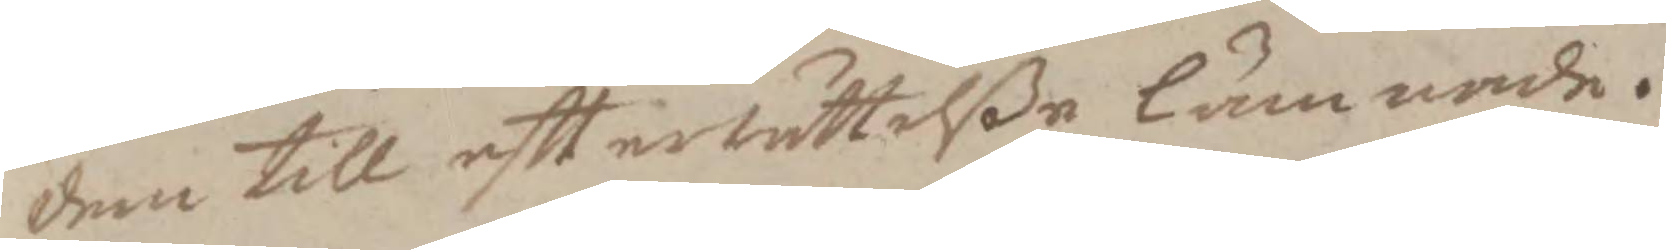dem till eftterrättelse lämnade.
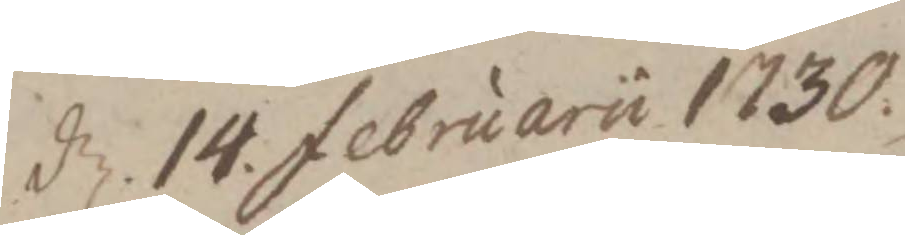d. 14. februarii 1730.
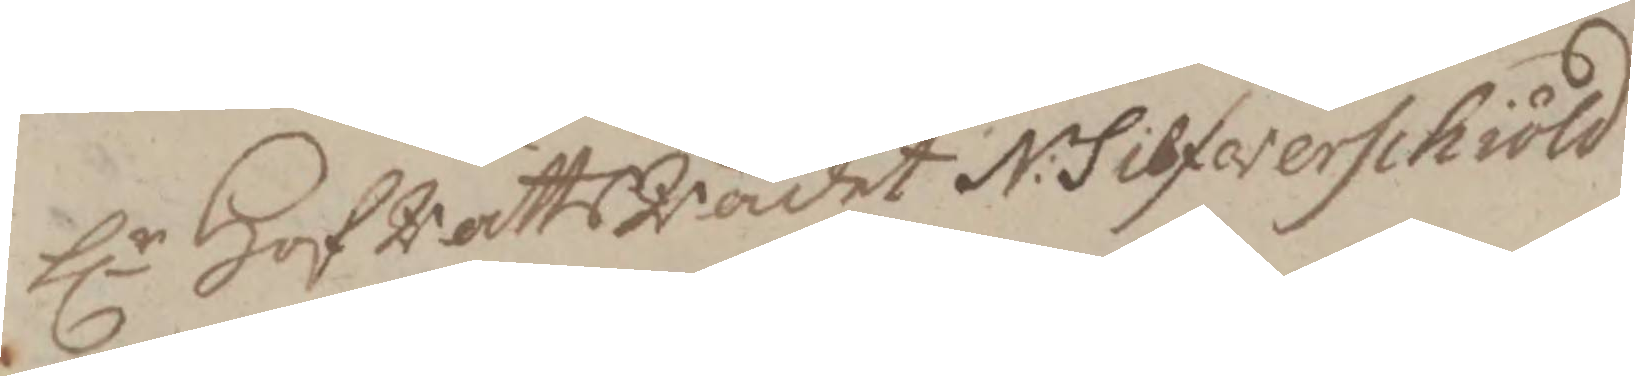Hr HofRättsRådet N:Silfwerschiöld
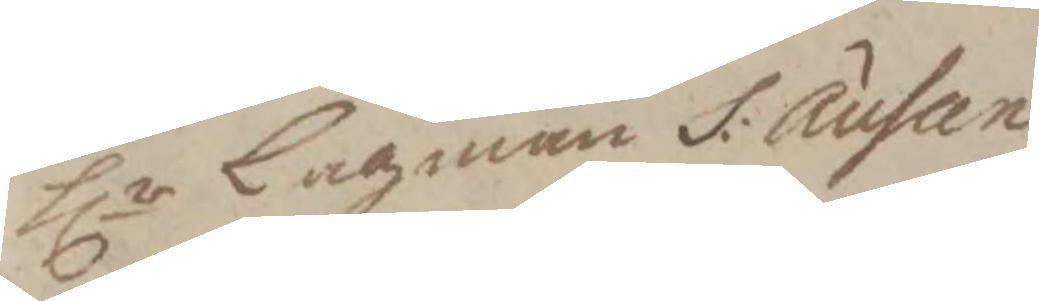Hr Lagman S: Auseen
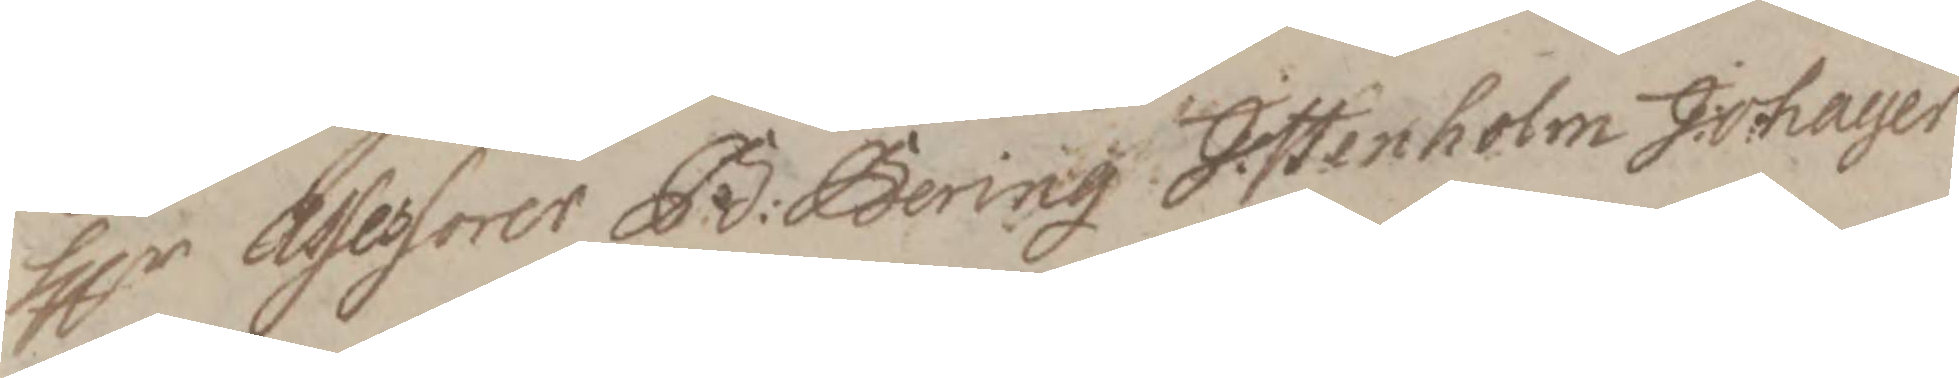Hlr Assessorer B: Bering. J: Stenholm. J:O:hager
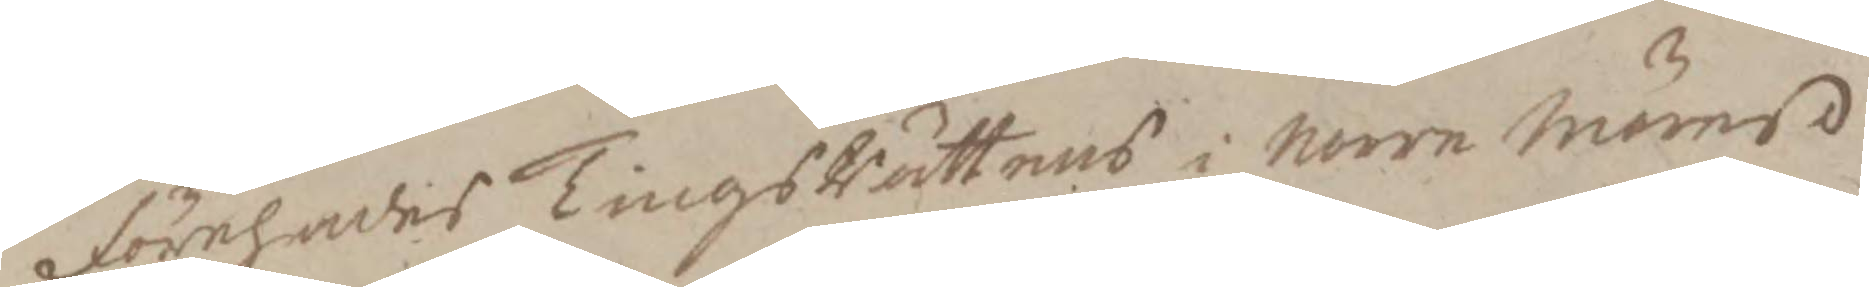Förehades TingsRättens i norra Möres
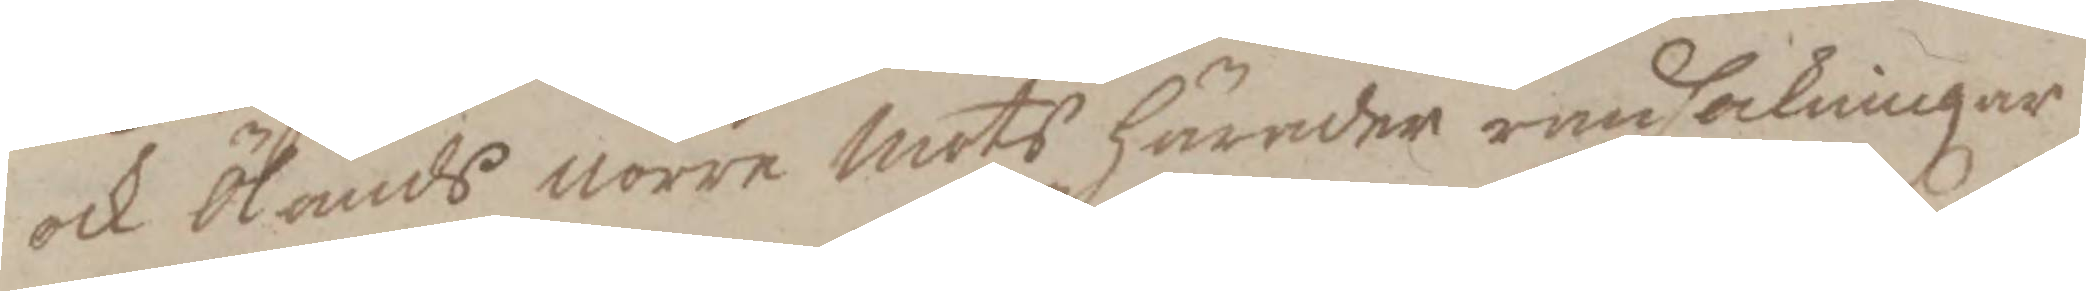och Ölands norra Mots härader ransakningar
